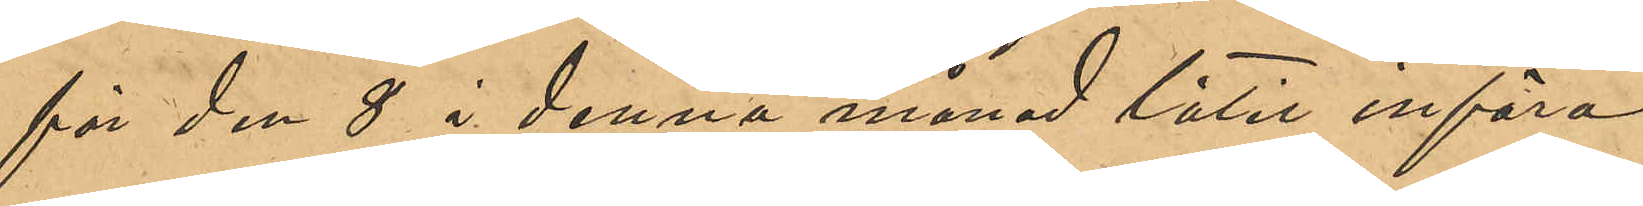för den 8 i denna månad låtit införa
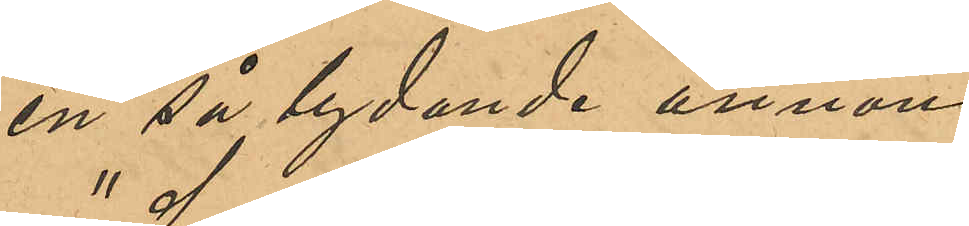en så lydande annons:
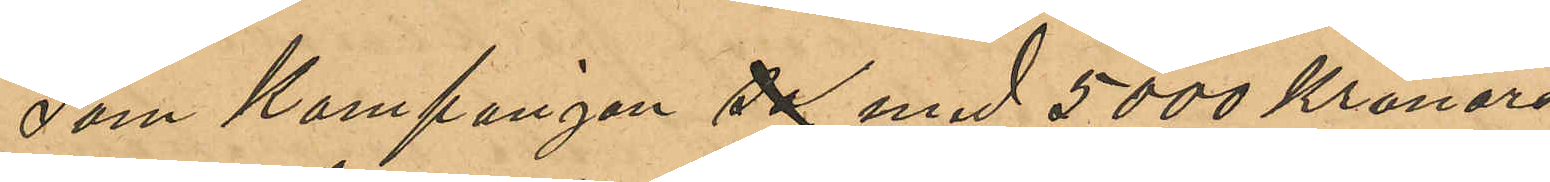"Som Kompanjon sa med 5000 Kronors
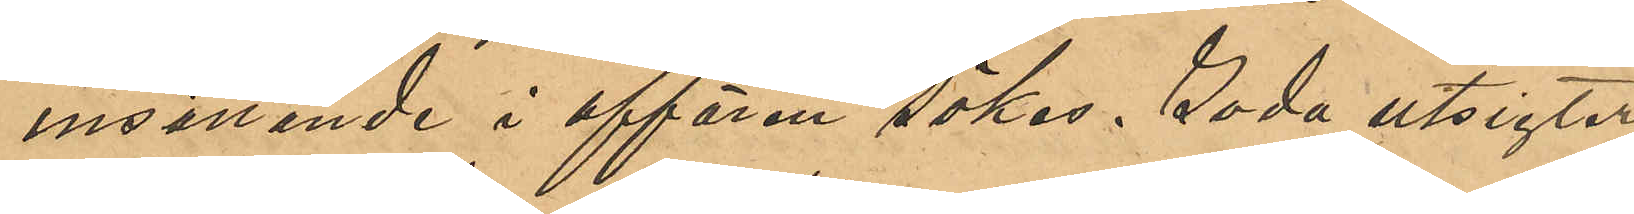insättande i affären sökes. Goda utsigter
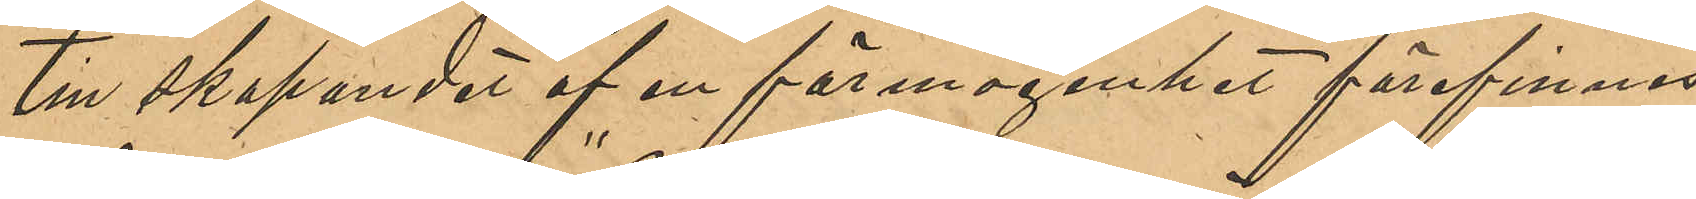till skapandet af en förmögenhet förefinnes.
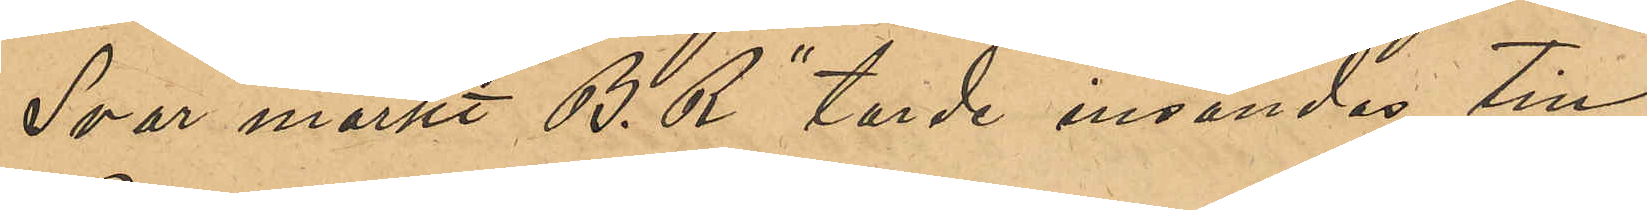Svar märkt "B. R" torde insändas till
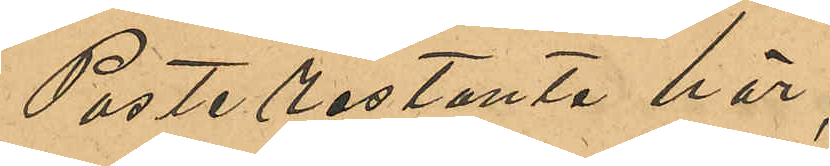Poste Restante här";
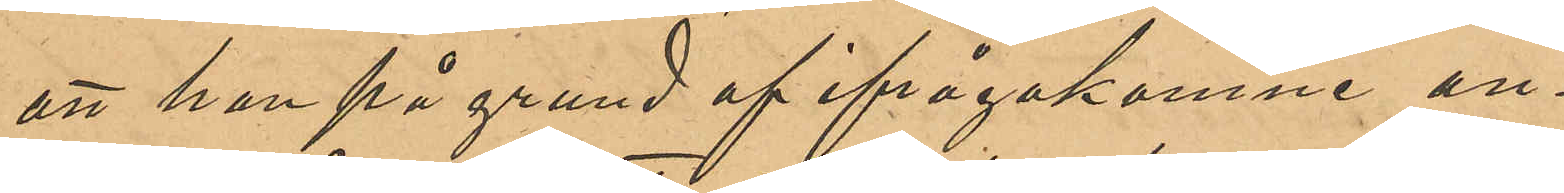att han på grund af ifrågakomne an¬
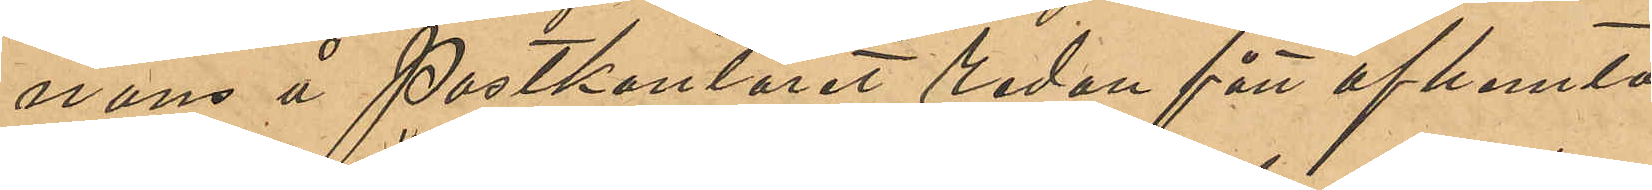nons å Postkontoret redan fått afhemta
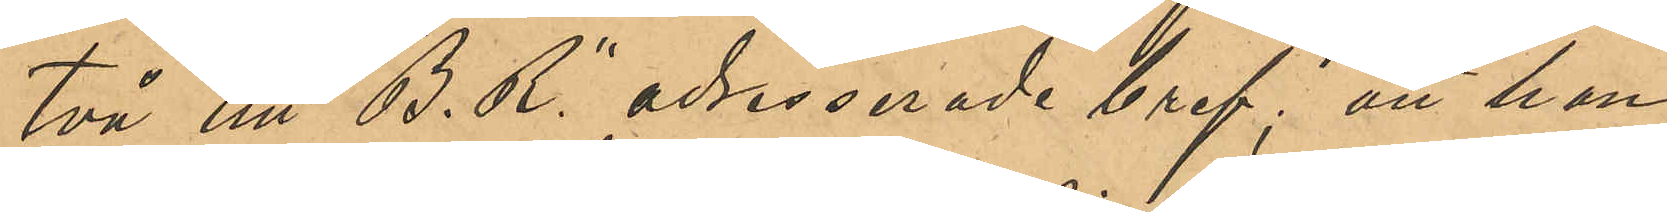två till "B.R." adresserade bref; att han,
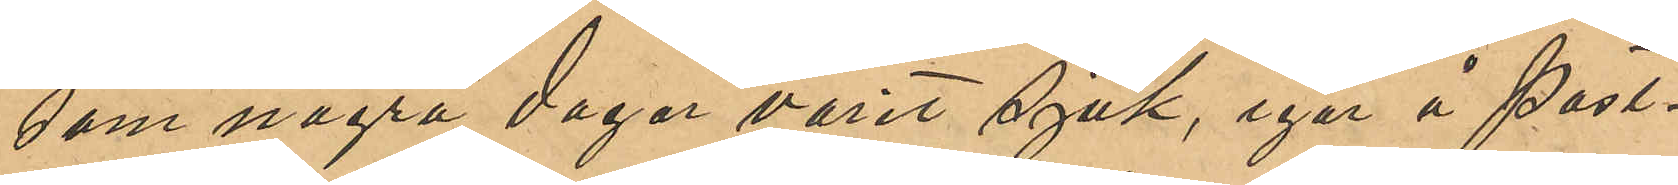som några dagar varit sjuk, igår å Post¬
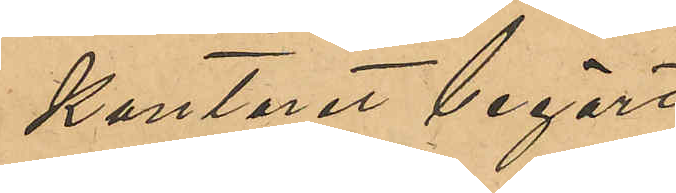kontoret begärt 
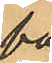få
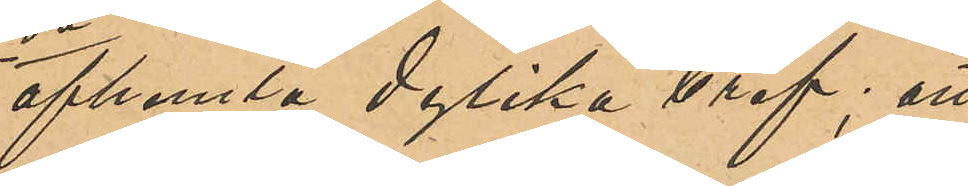afhemta dylika bref; att
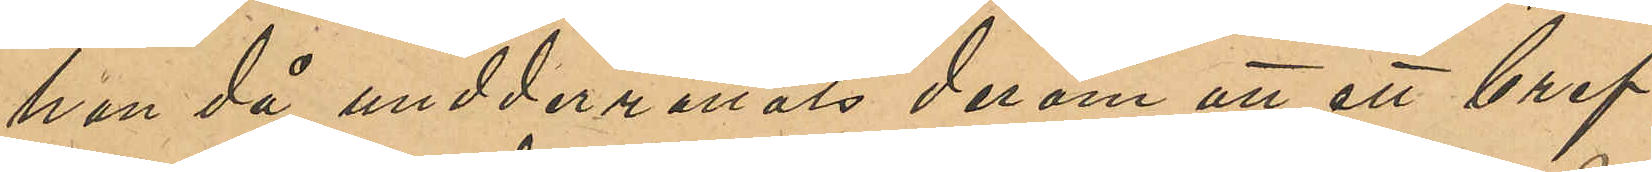han då underrättats derom att ett bref
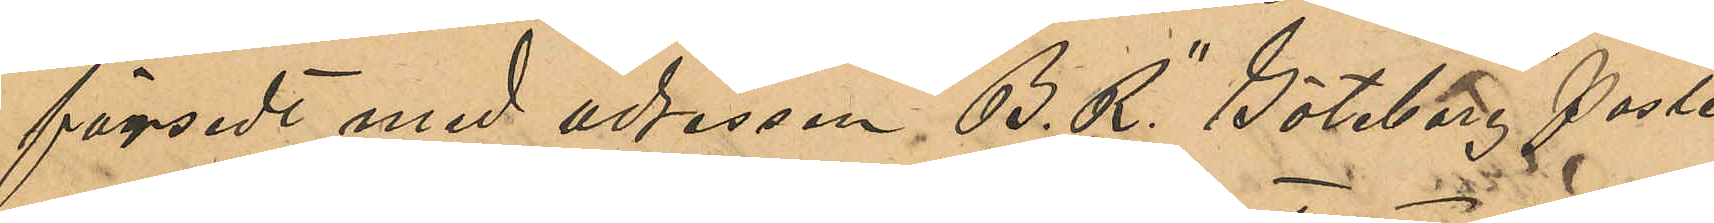försedt med adressen, "B. R." Göteborg Poste
